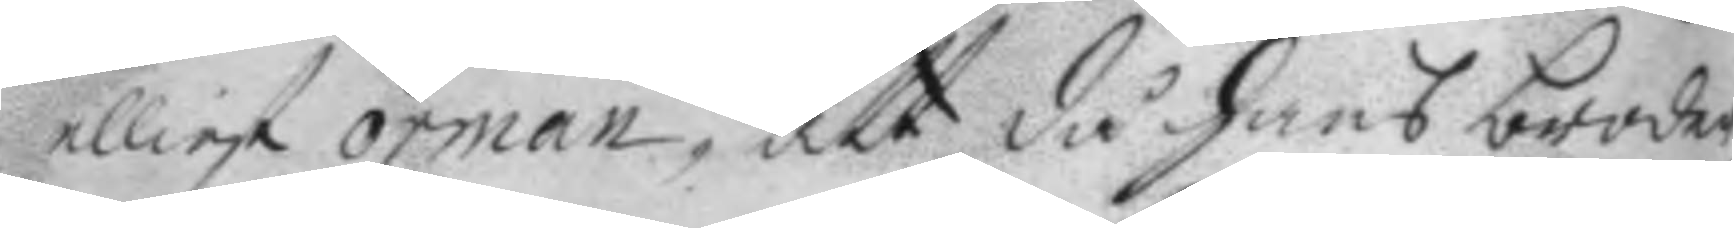elliest örman, att då hans broder
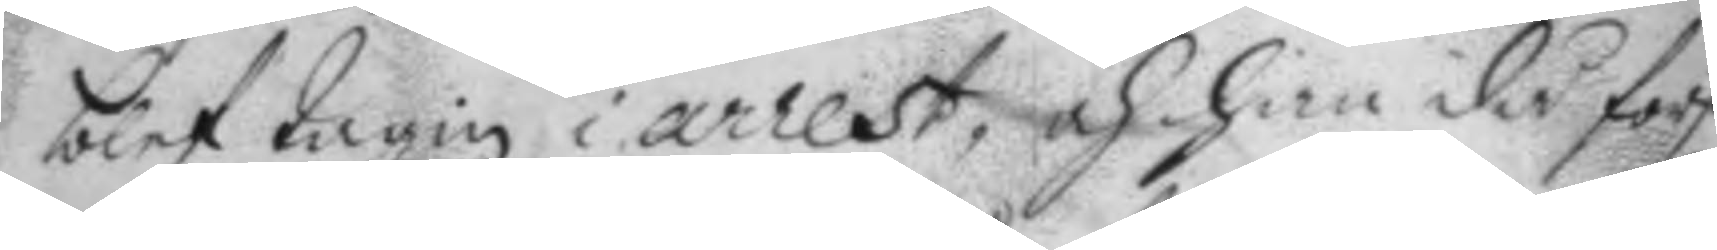blef tagin i arrest, och han då först
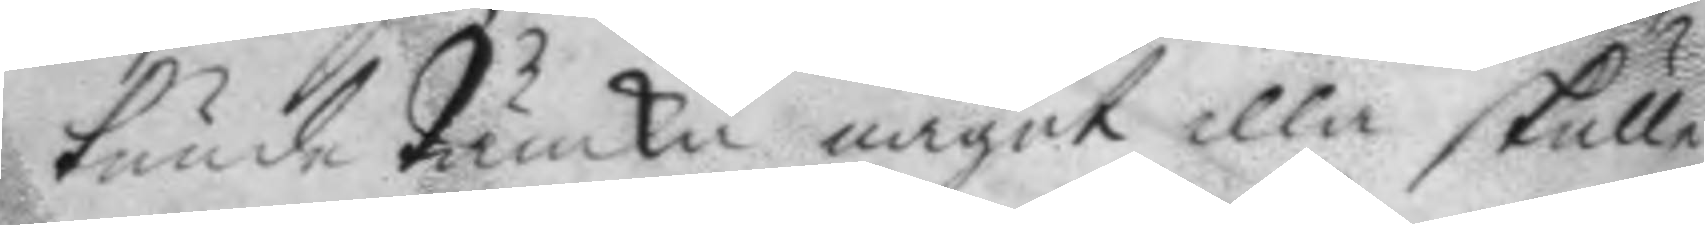kunde tänka något illa skulle
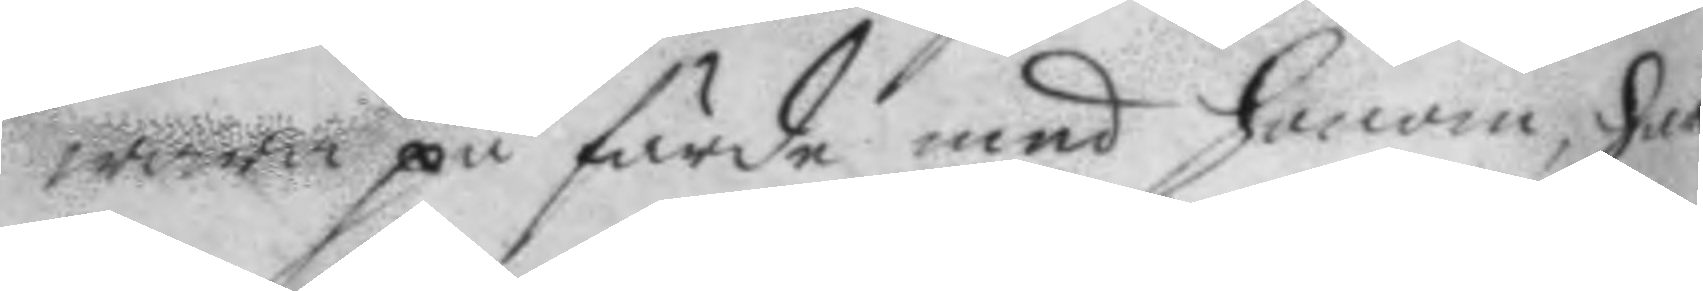wara på färde med honom, har
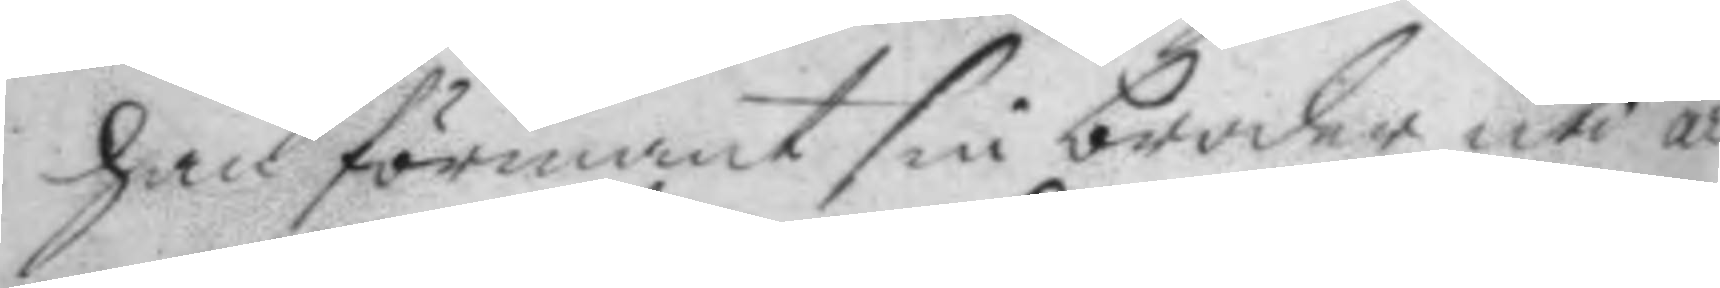han förmant sin broder uti ar¬
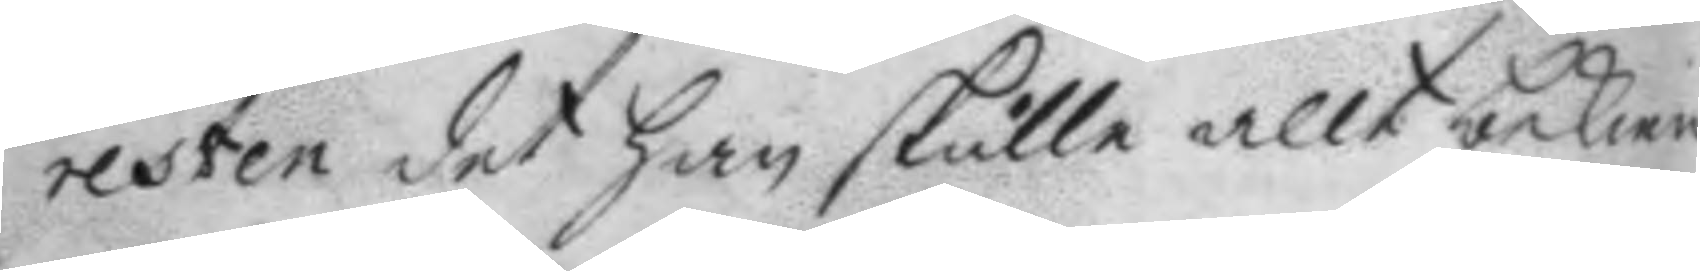resten det han skulle allt bekien¬
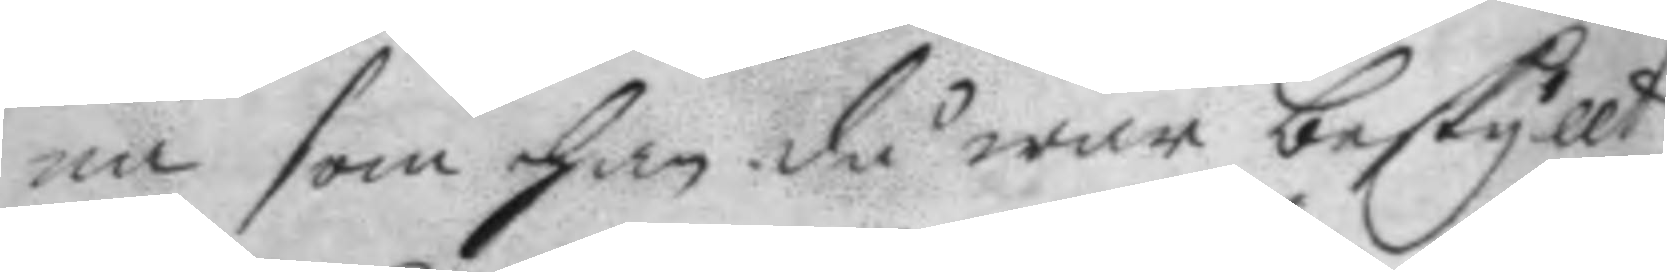na som han då war beskyllt
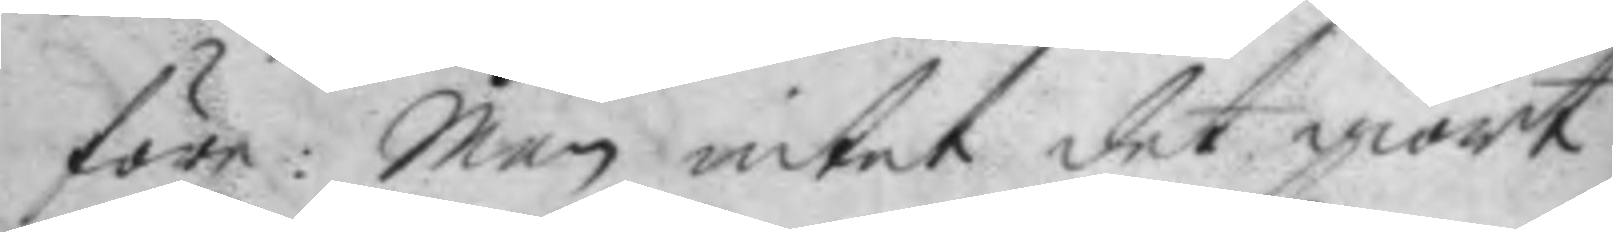före; Men intet det giort:
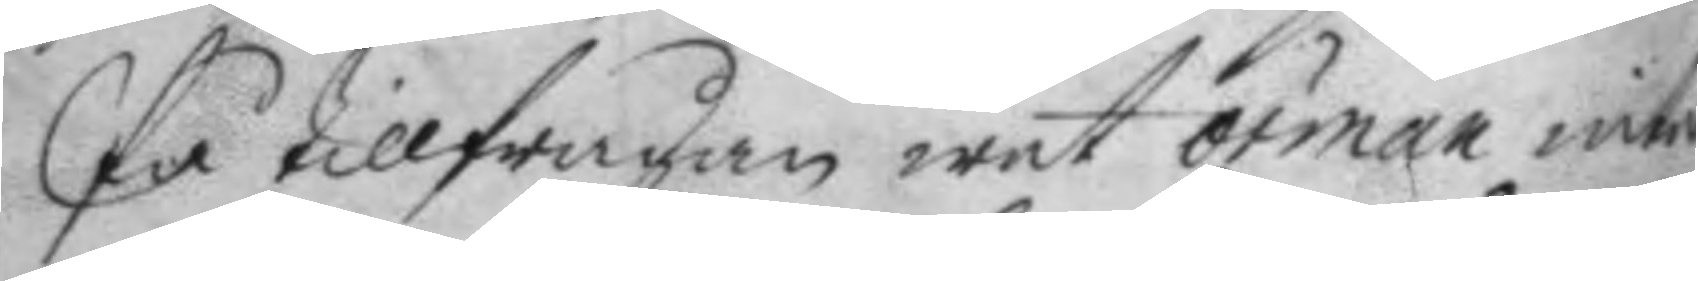På tillfrågan wet örman intet
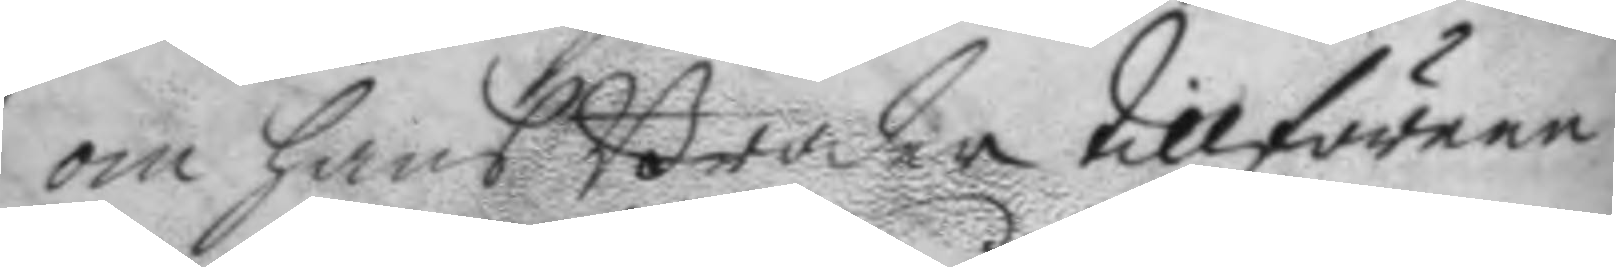om hans Broder tillförene
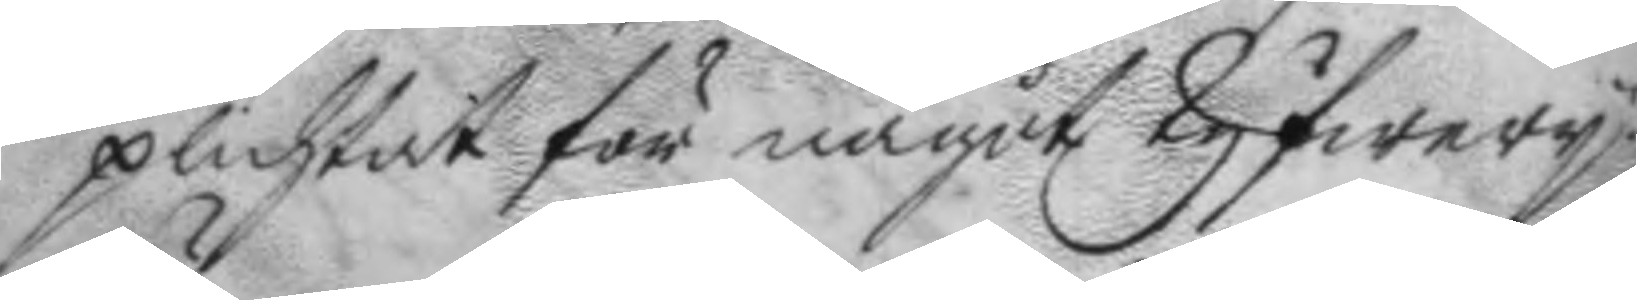plichtat för något tyfwery.
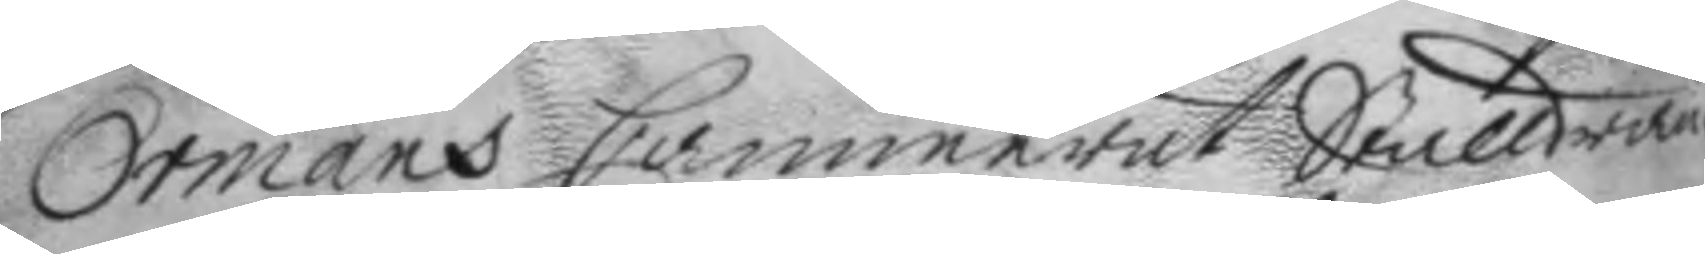Örmans Cammerat Stalldrän¬
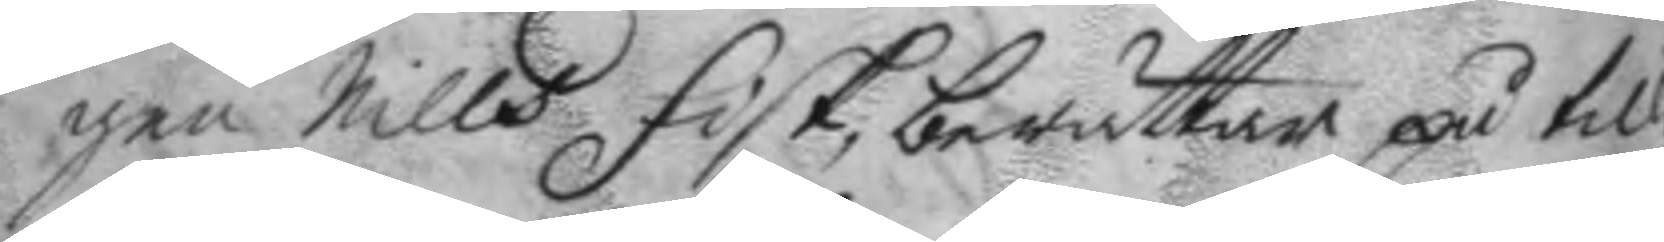gen Nills fisk, berättar på till¬
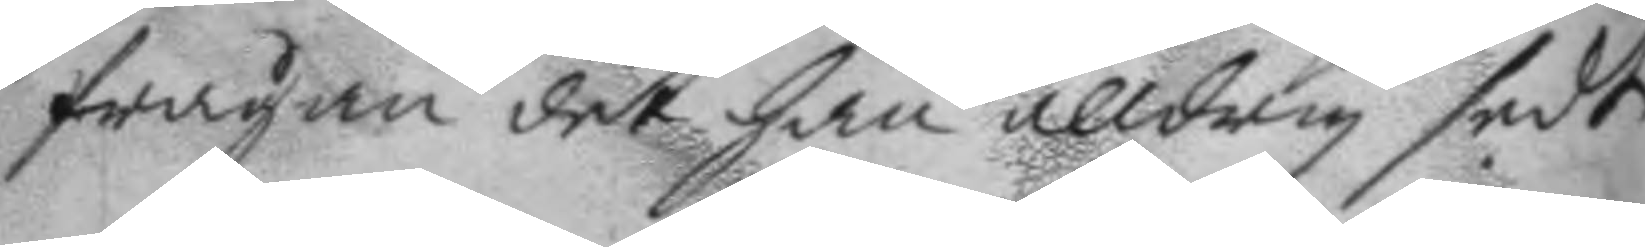frågan det han alldrig sedt
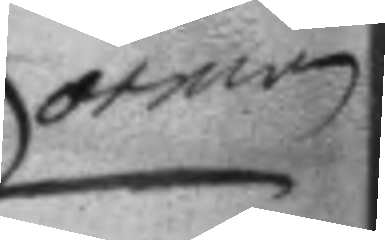örman
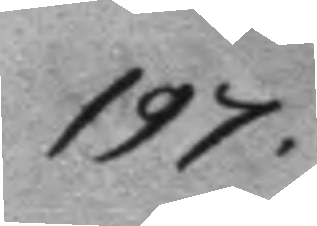197.
